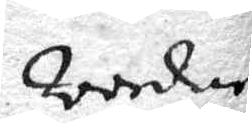Wordne
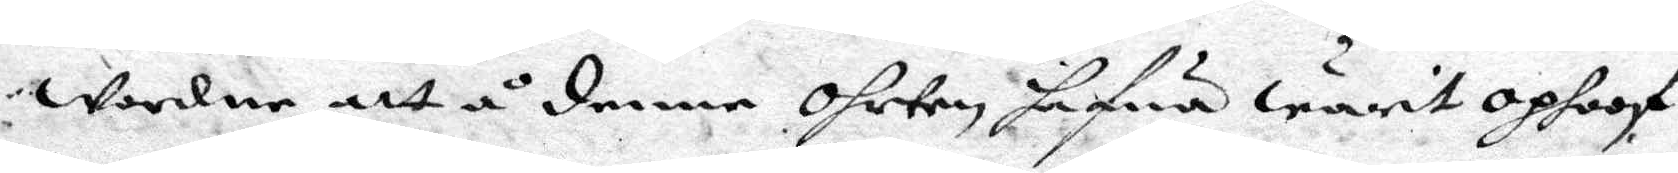wordne att å denne ohrten hafwa warit ophoof
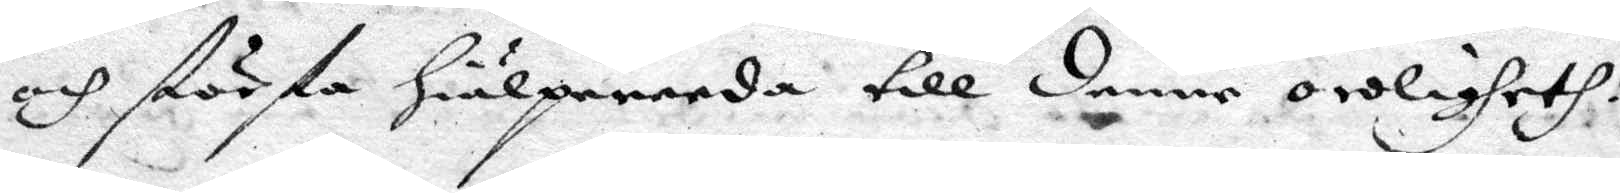och största hiälpereeda till denne oroligheth.
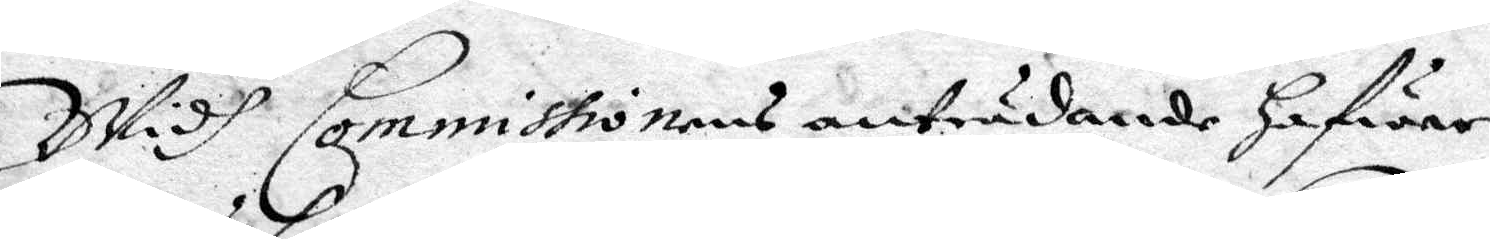Widh Commissionens anträdande hafwer
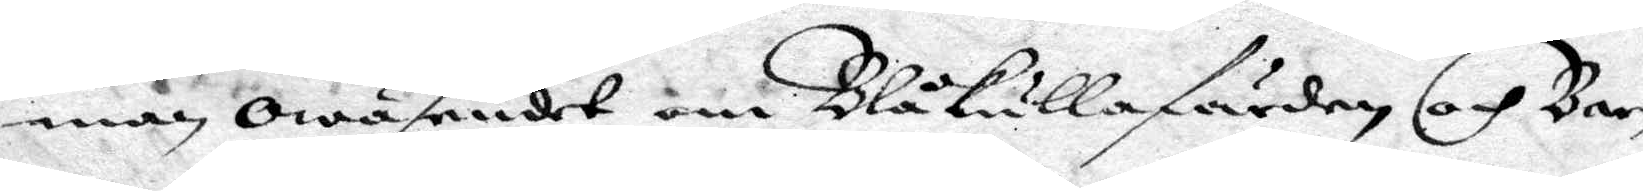man owäsendet om Blåkullafärden och Bar¬
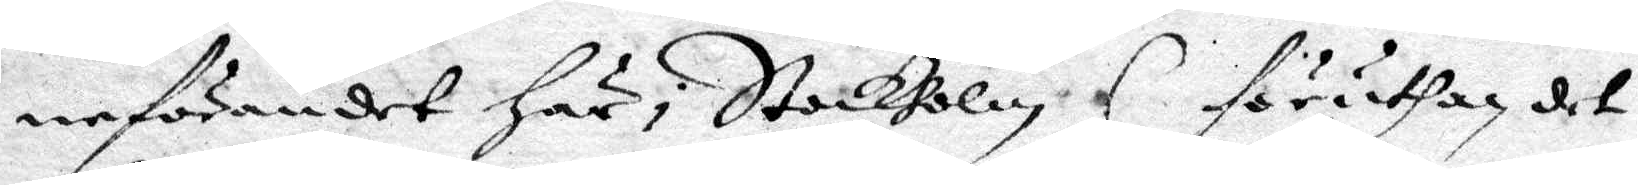neförandet här i Stockholm (föruthan det
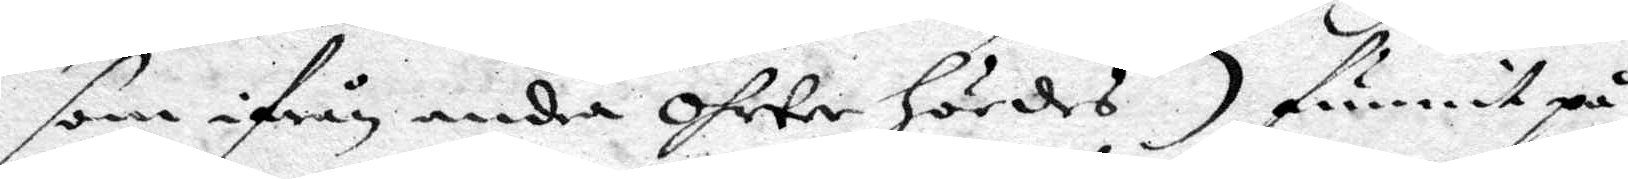som ifrån andra ohrter hördes) funnit på
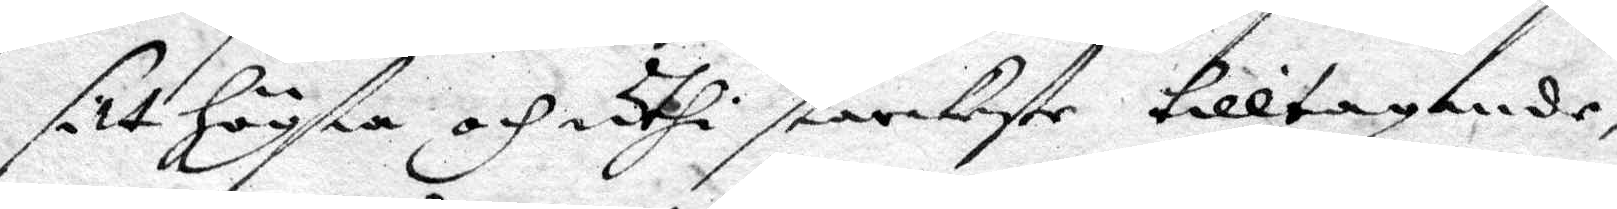sitt högsta och uthi starkeste tilltagande,
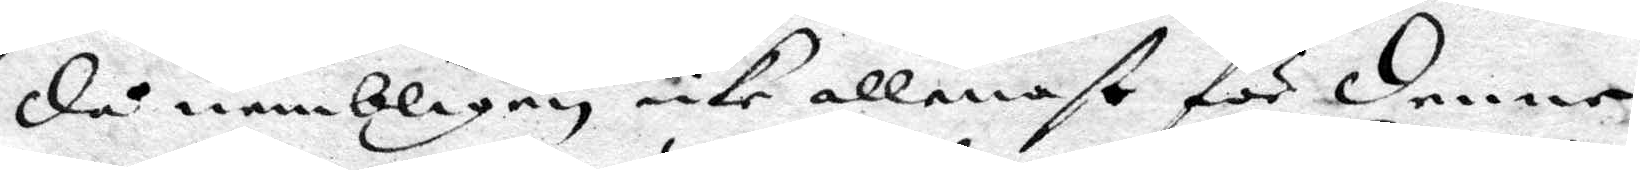då nembligen icke allenast för denne
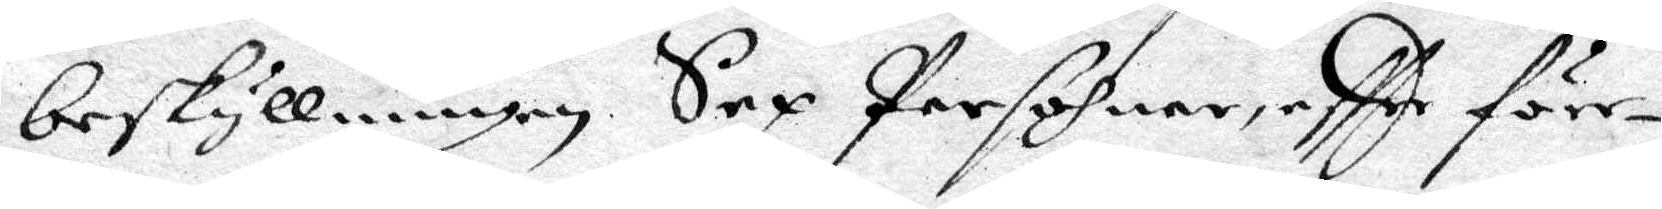beskyllningen Sex Persohner, eftter före¬
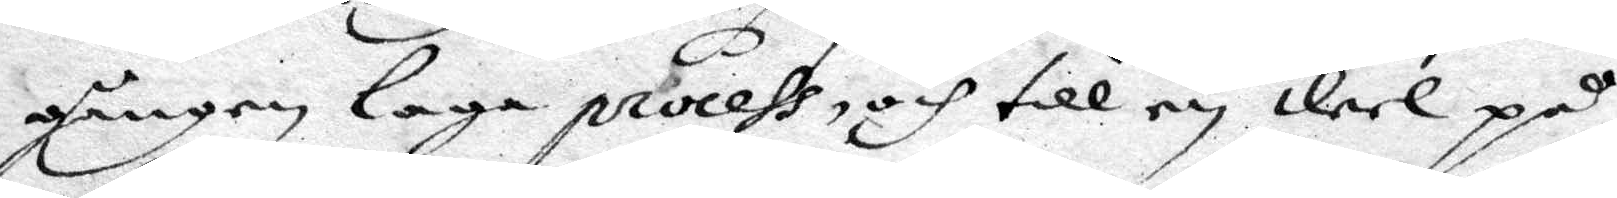gången laga process, och till en deel på
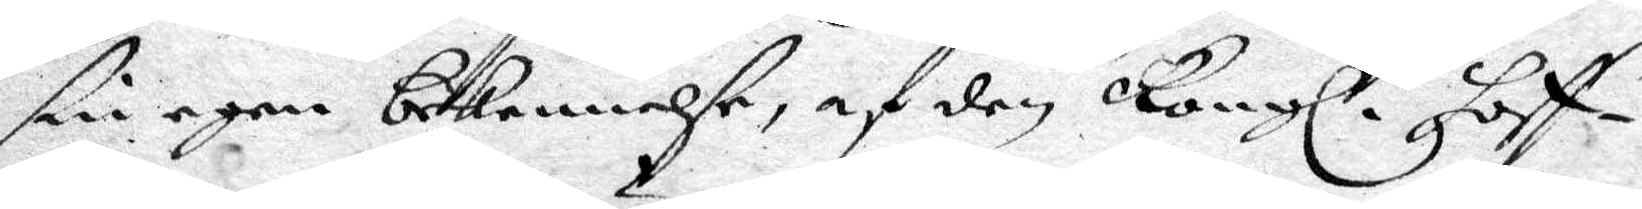sin egen bekennelse, af den Kongl. hoff¬
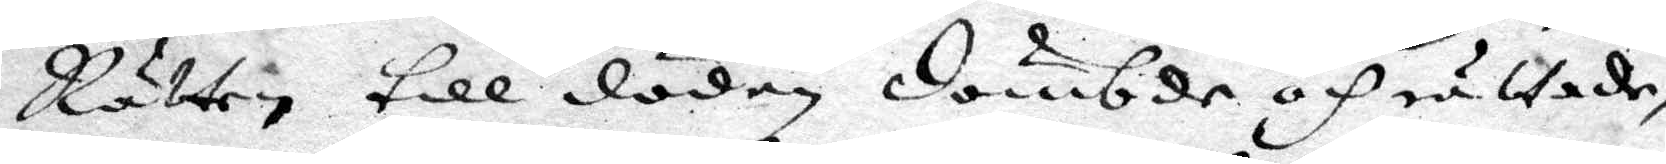Rätten till döden dömbde och rättade,
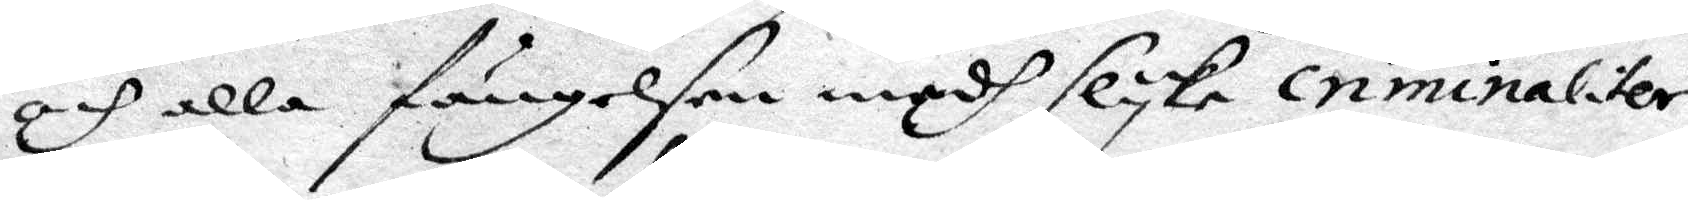och alla fängelsen medh slyka criminaliter
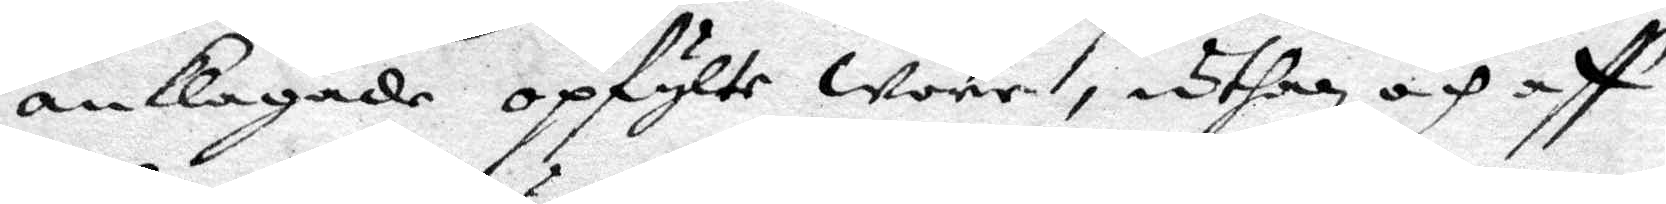anklagade opfylte wore, uthan och aff
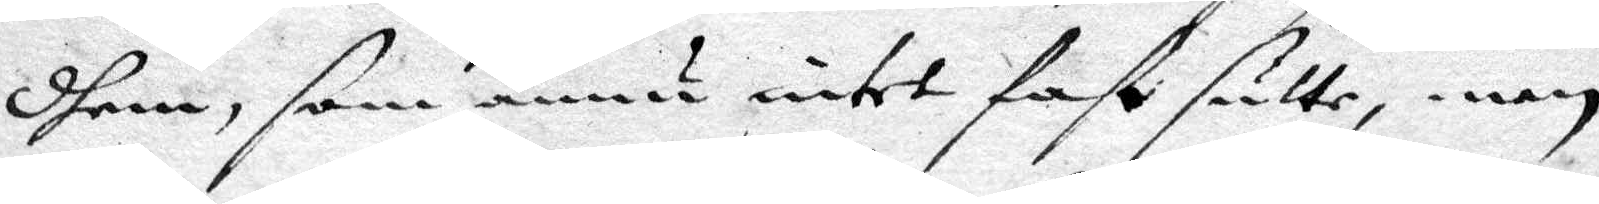dhem, som ännu intet fast sutte, men
